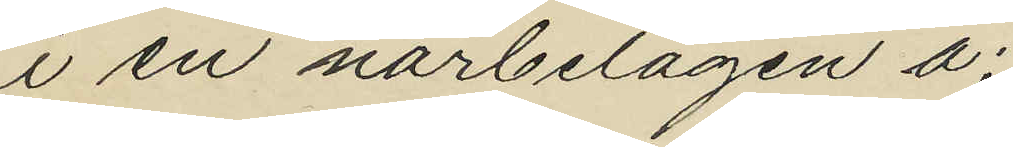i en närbelägen å
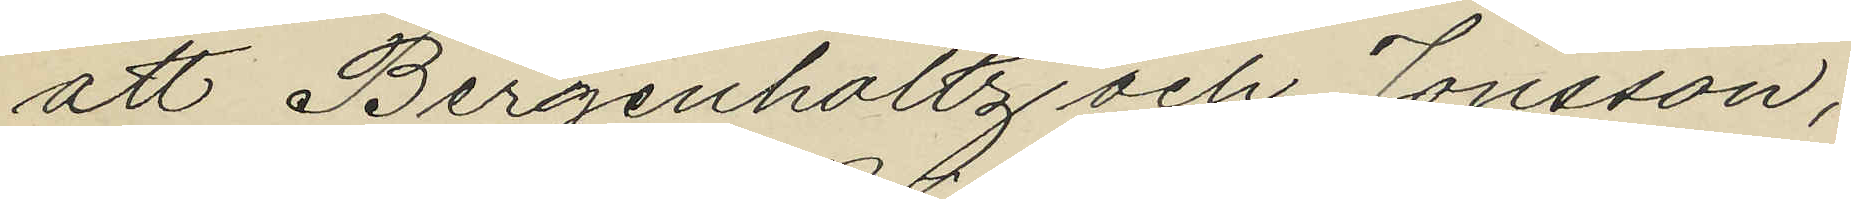att Bergenholtz och Jonsson,
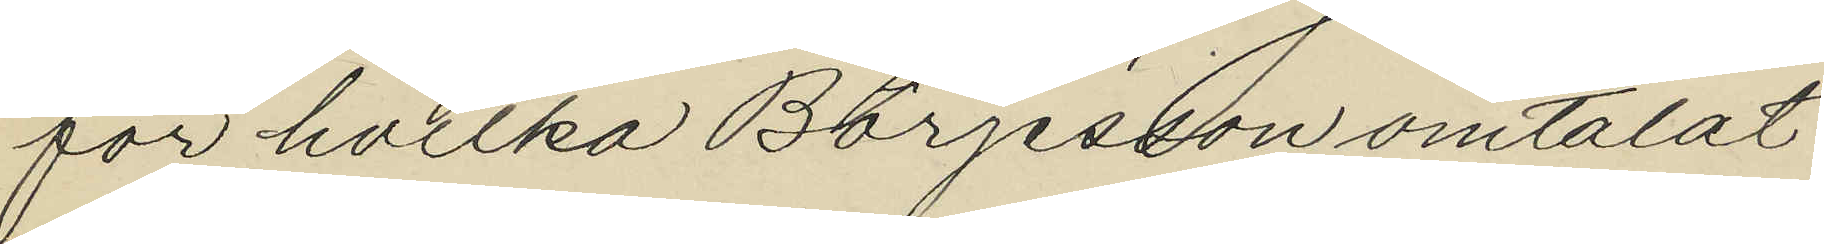för hvilka Börjesson omtalat
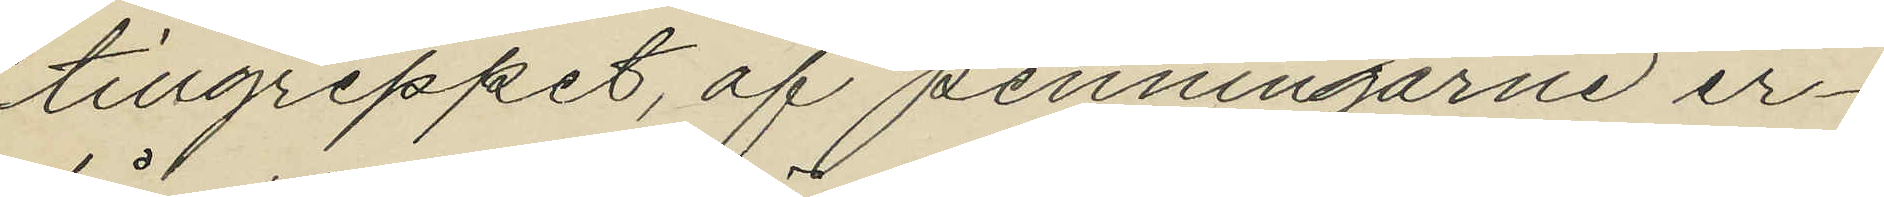tillgreppet, af penningarne er¬
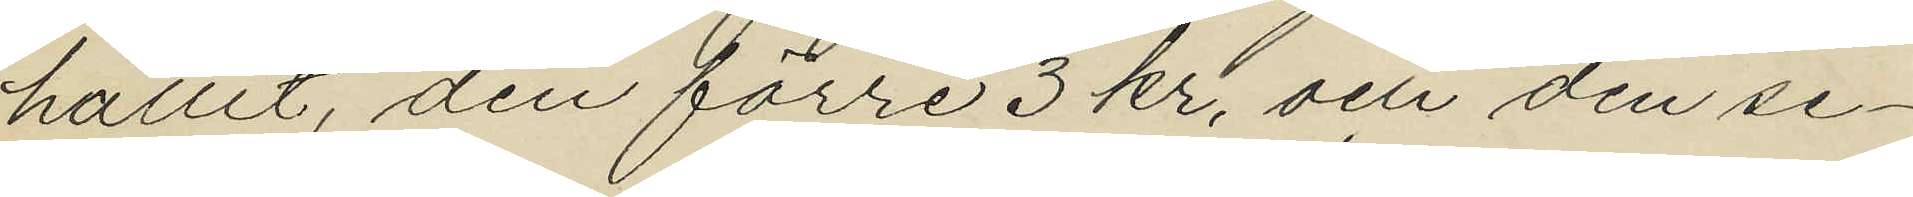hållit, den förre 3 kr, och den se¬
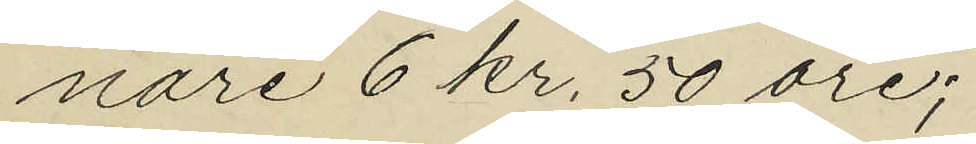nare 6 kr. 50 öre;
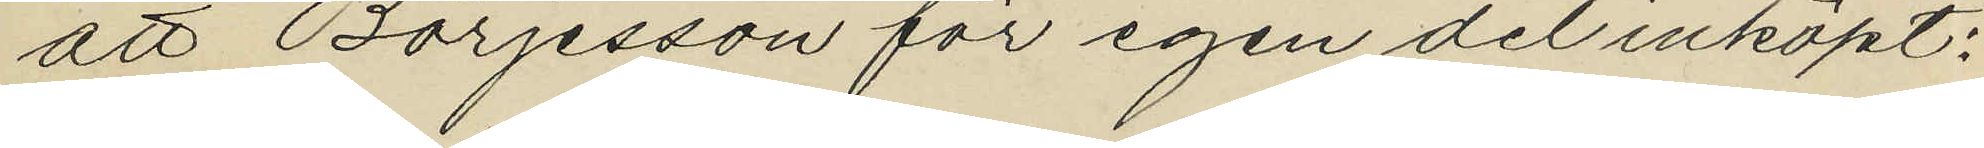att Börjesson för egen del inköpt;
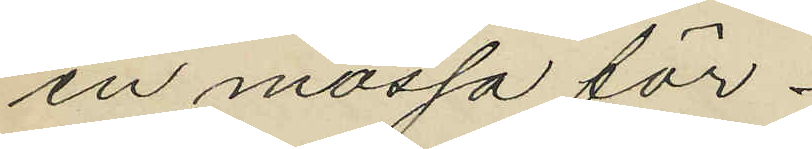en mössa för
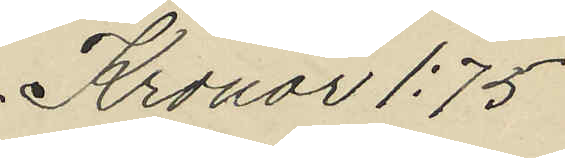Kronor 1:75
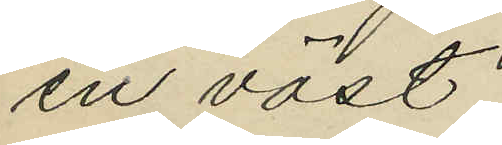en väst;
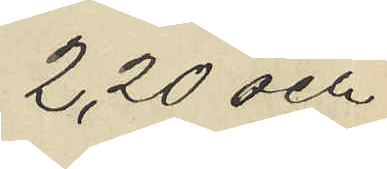2,20 och
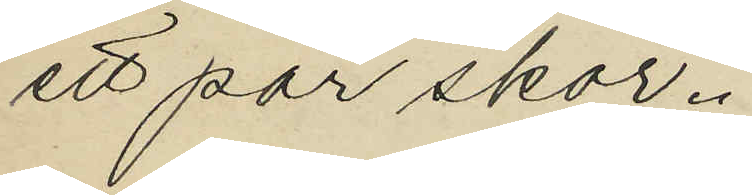ett par skor.
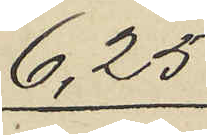6,25
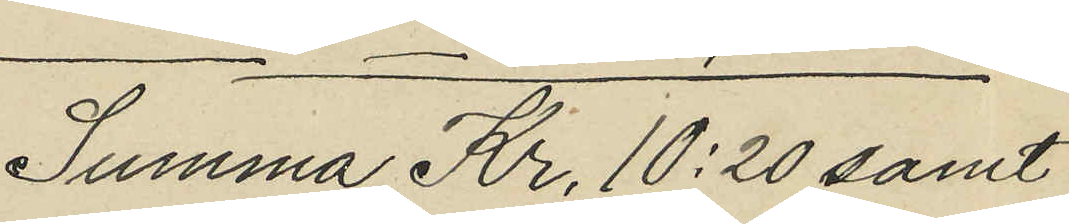Summa Kr 10:20 samt
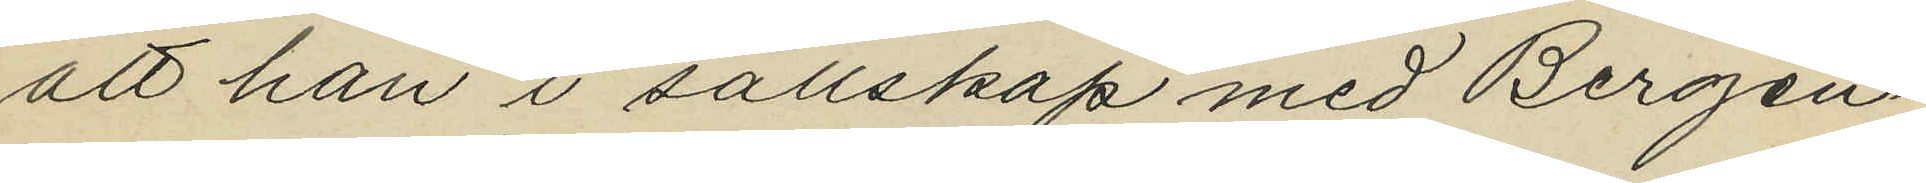att han i sällskap med Bergen¬
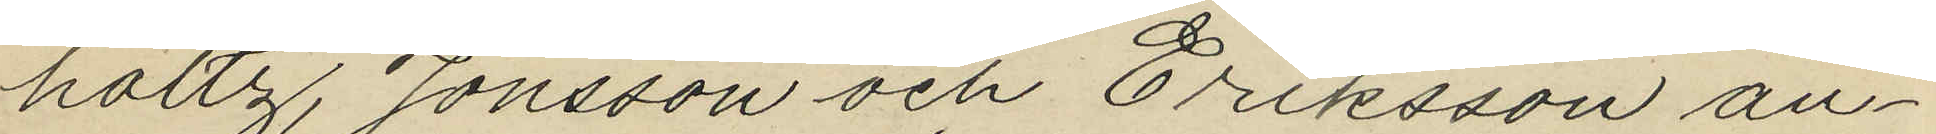holtz, Jonsson och Eriksson an¬
